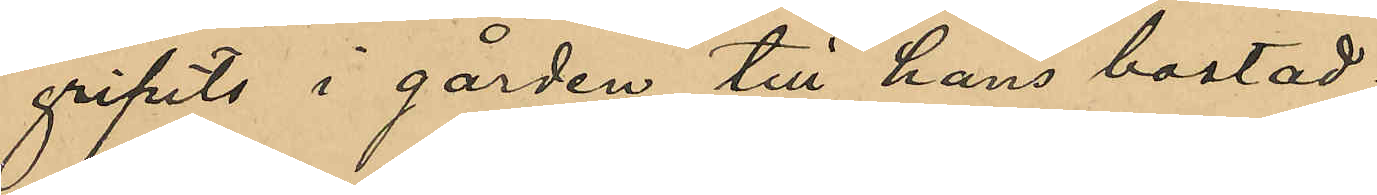gripits i gården till hans bostad.
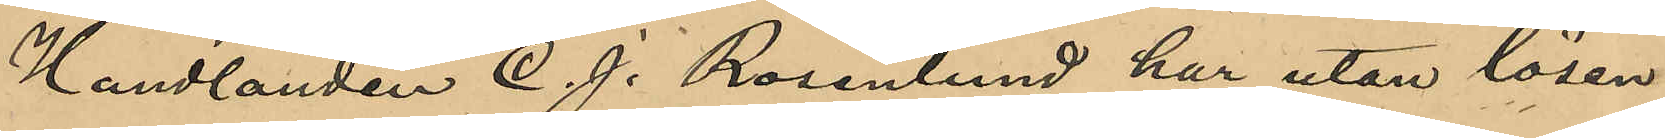Handlanden C. J. Rosenlund har utan lösen
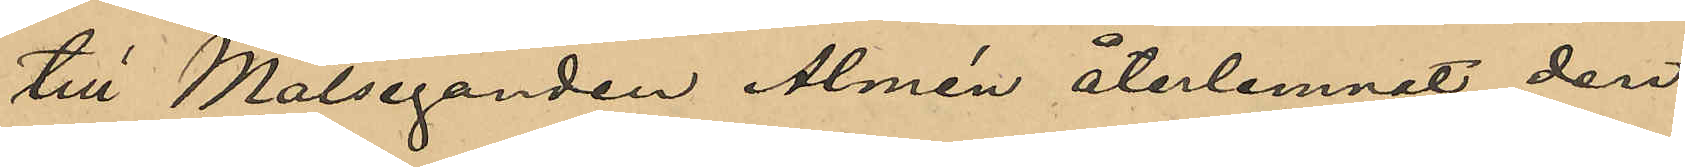till Målseganden Almén återlemnat den
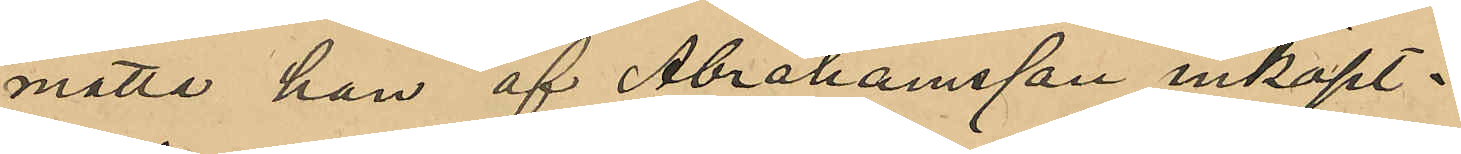matte han af Abrahamsson inköpt.
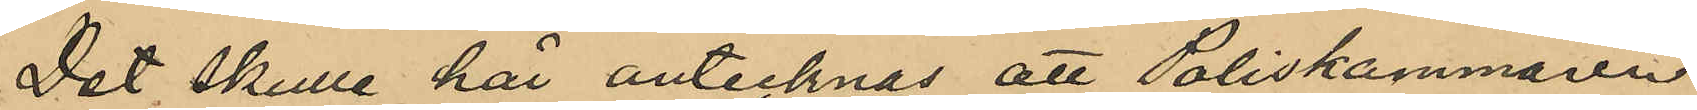Det skulle här antecknas att Poliskammaren
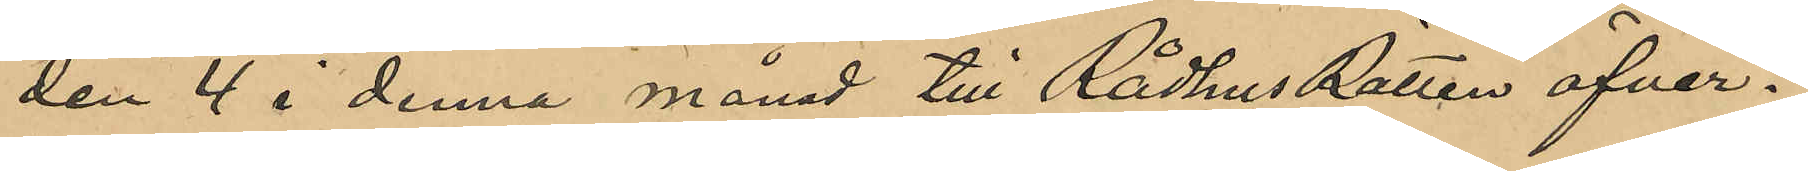den 4 i denna månad till Rådhus Rätten öfver¬
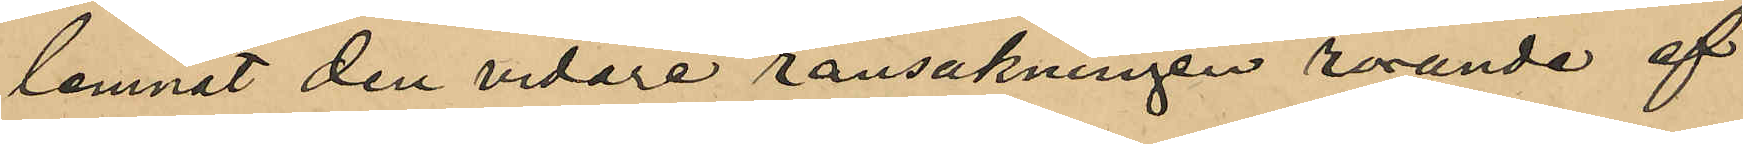lemnat den vidare ransakningen rörande af
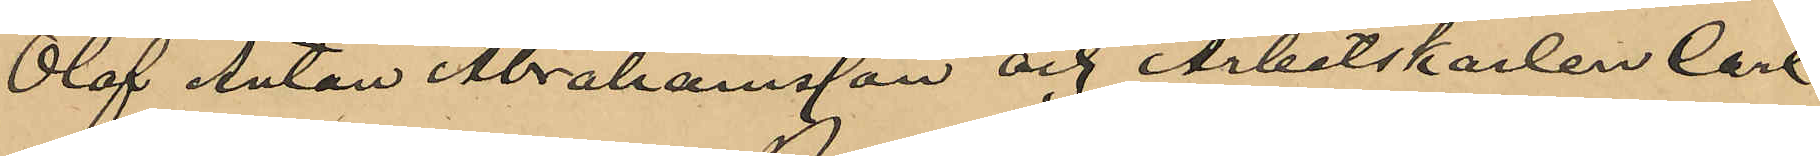Olof Anton Abrahamsson och Arbetskarlen Carl
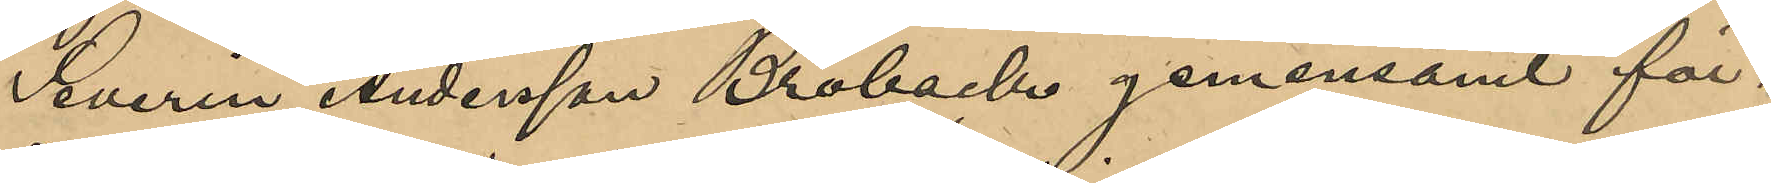Severin Andersson Broback gemensamt för¬
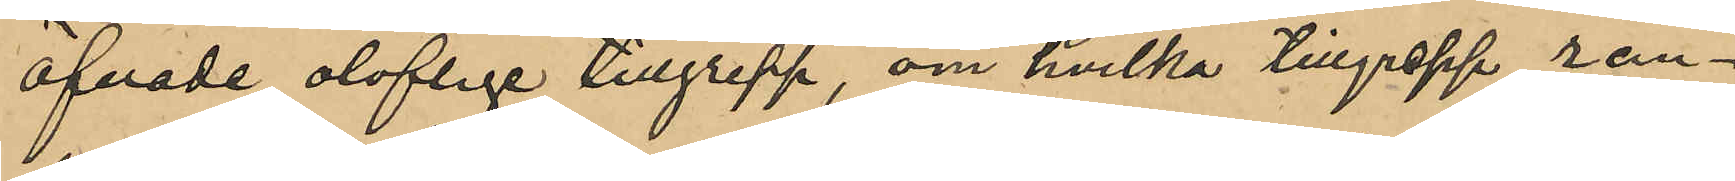öfvade oloflige tillgrepp, om hvilka tillgrepp ran¬
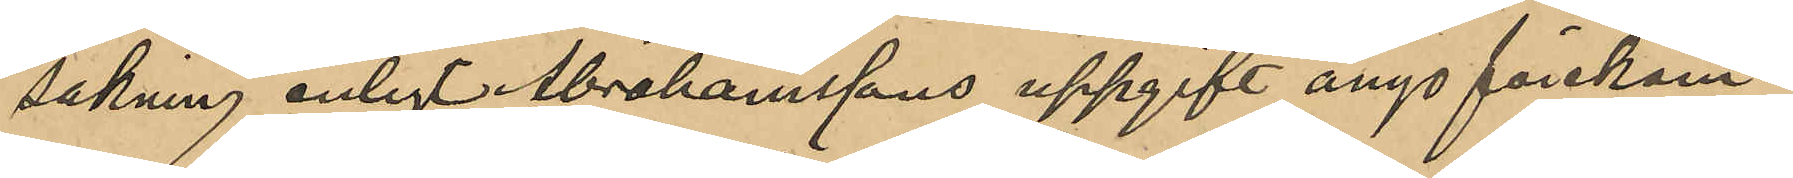sakning enligt Abrahamssons uppgift ånyo förekom¬
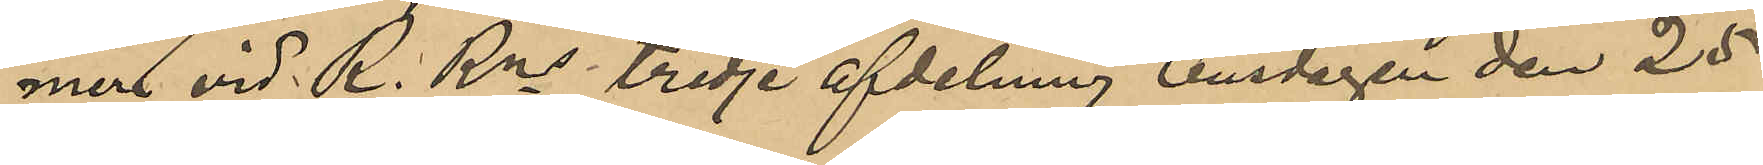mer vid R. Rns tredje afdelning onsdagen den 25
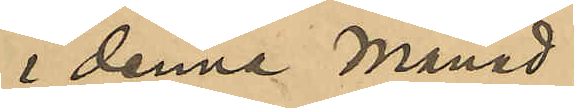i denna månad.
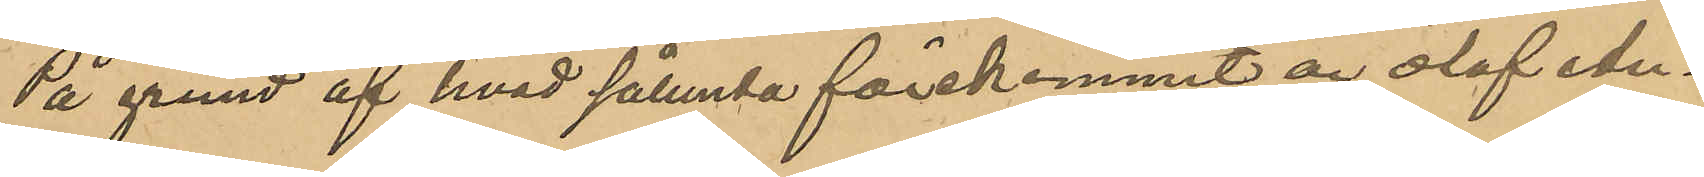På grund af hvad sålunda förekommit är Olof An¬
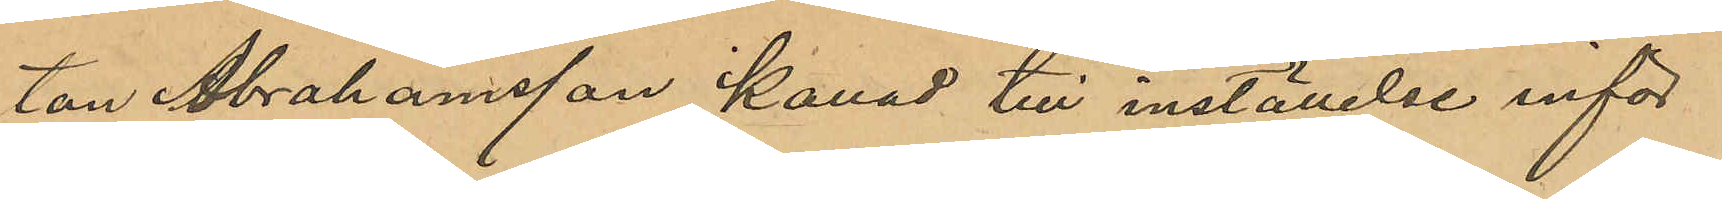ton Abrahamsson kallad till inställelse inför
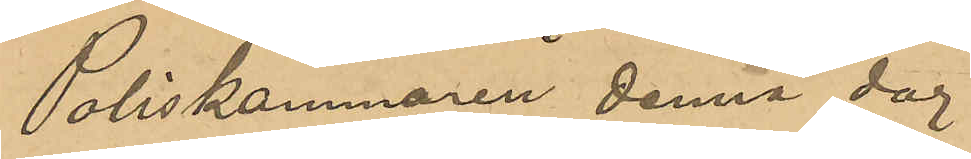Poliskammaren denna dag.
